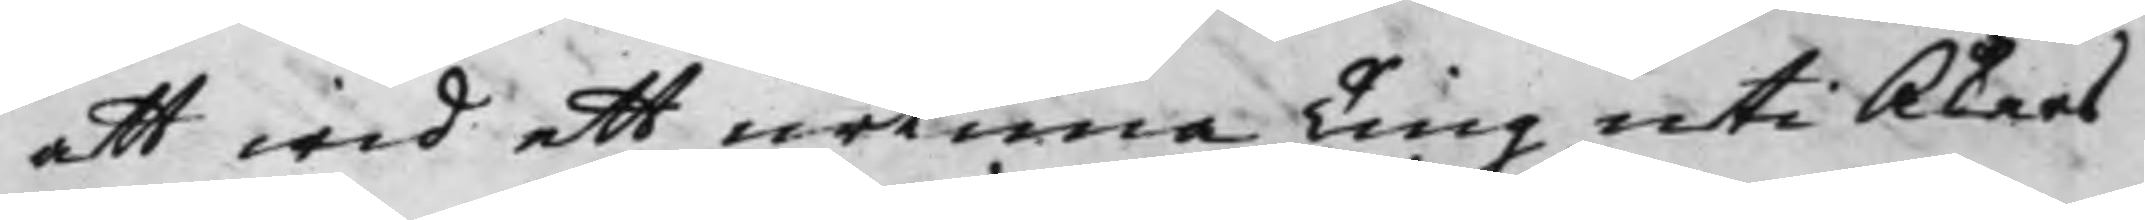att wid ett urtima Ting uti Åkers
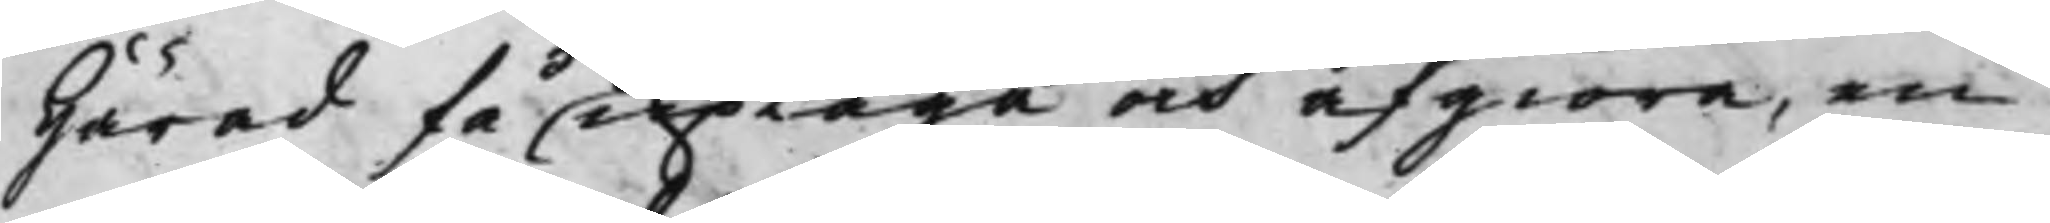Härad få uptaga och afgiöra, en
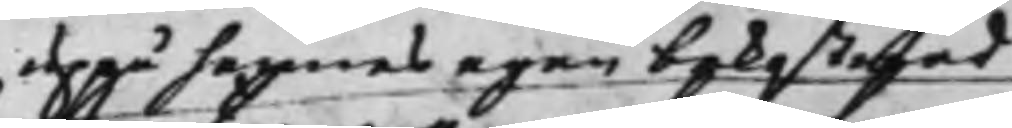uppå hennes egen bekostnad
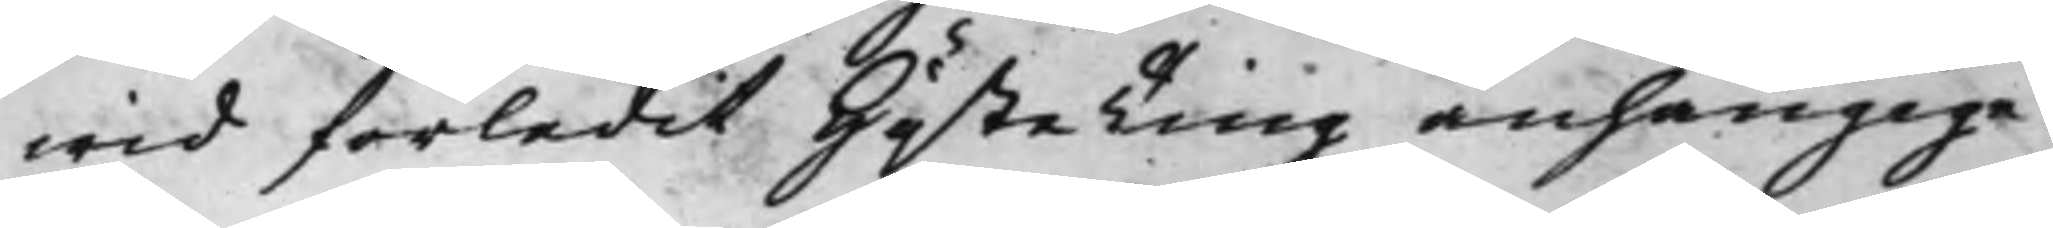wid förledit Höste Ting anhängige
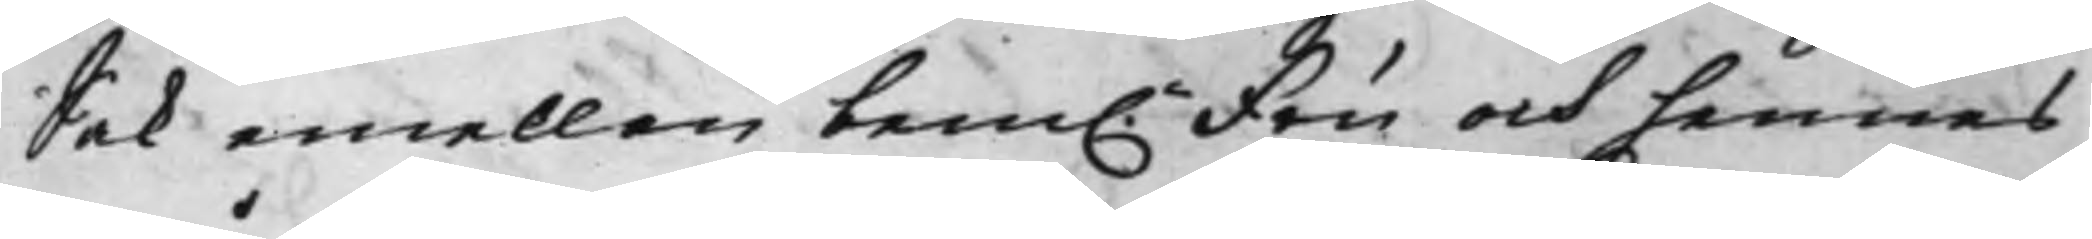sak emellan bem. Fru och hennes
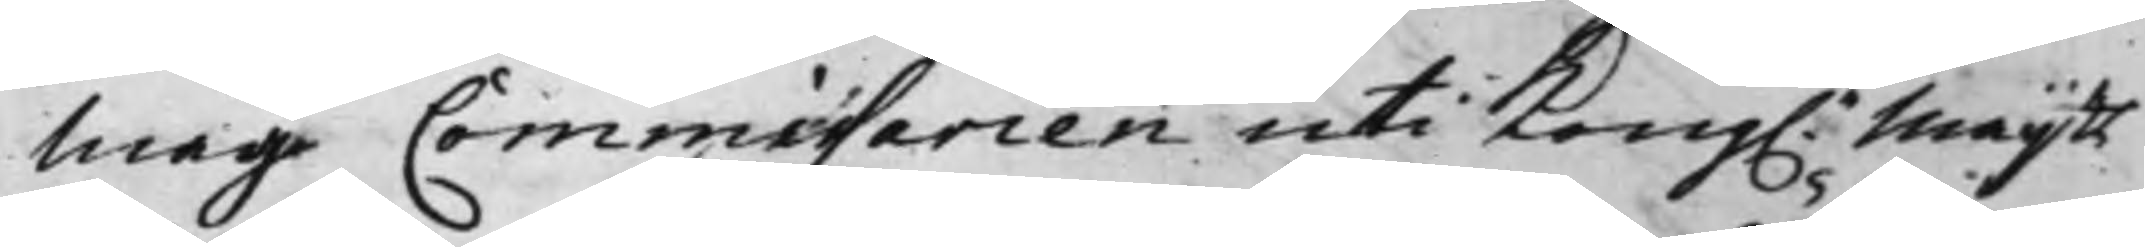måg Commissarien uti Kong. Maijtts
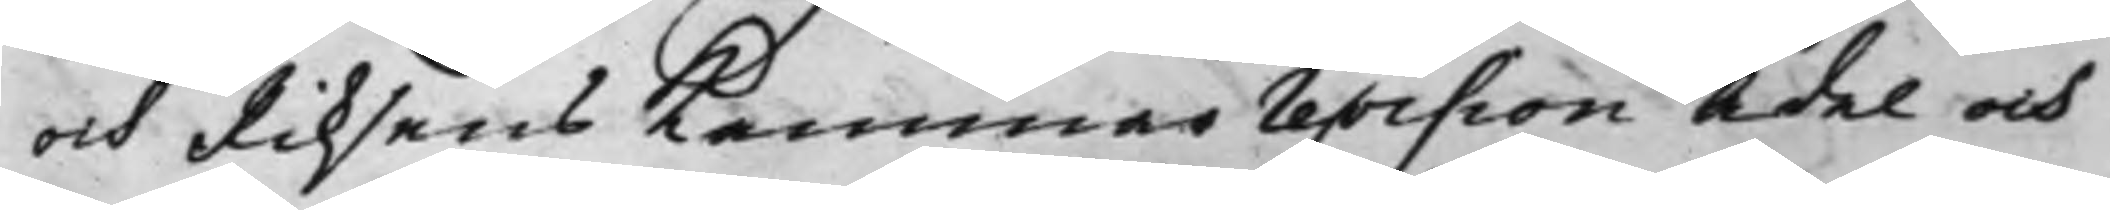och Riksens Cammarrevision Ädel och
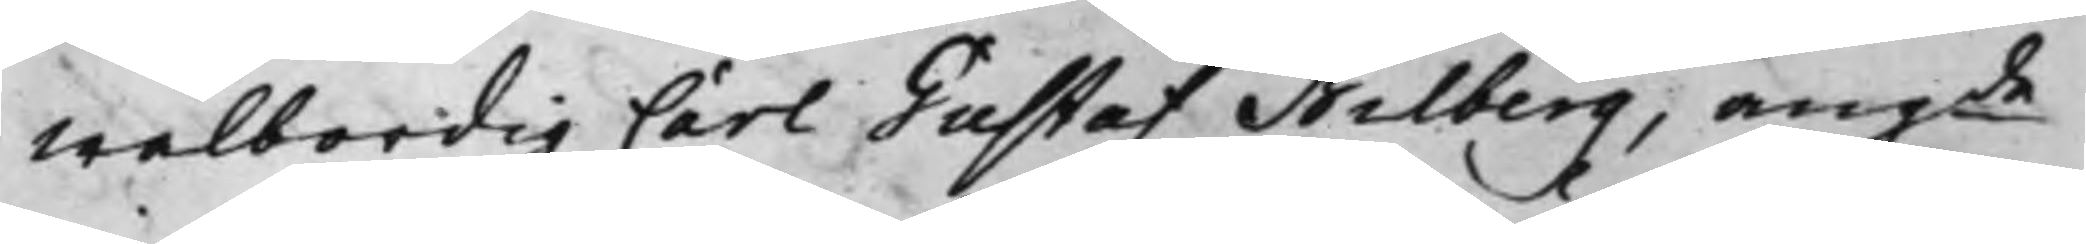wälbördig Carl Gustaf Bilberg, angde
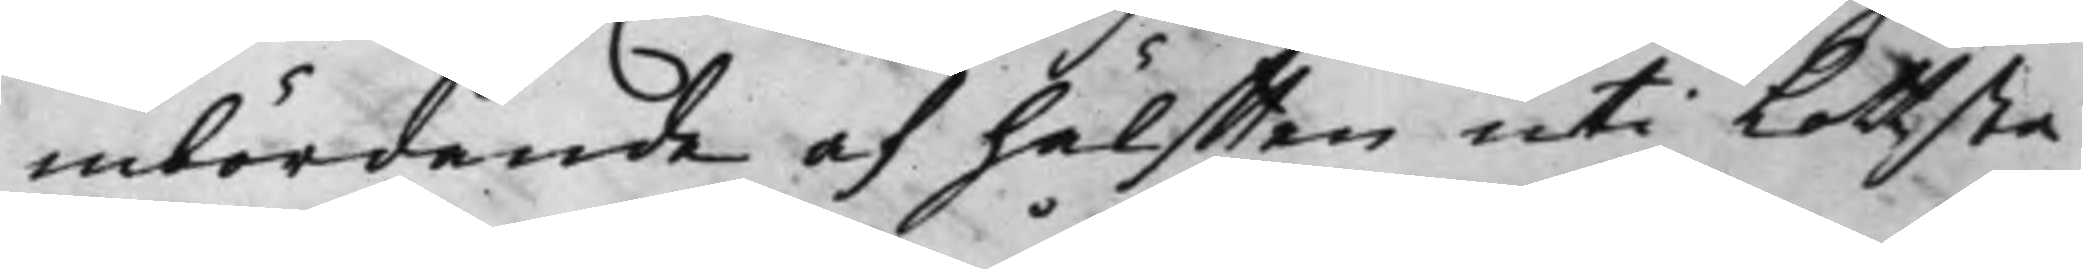inbördande af hälfften uti Lottsta
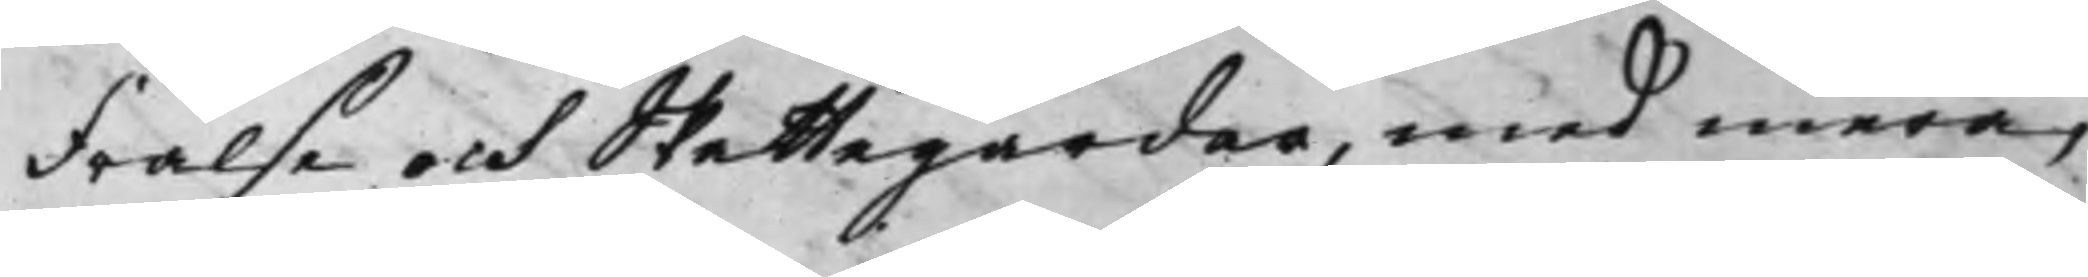Frälse och Skattegårdar, med mera,
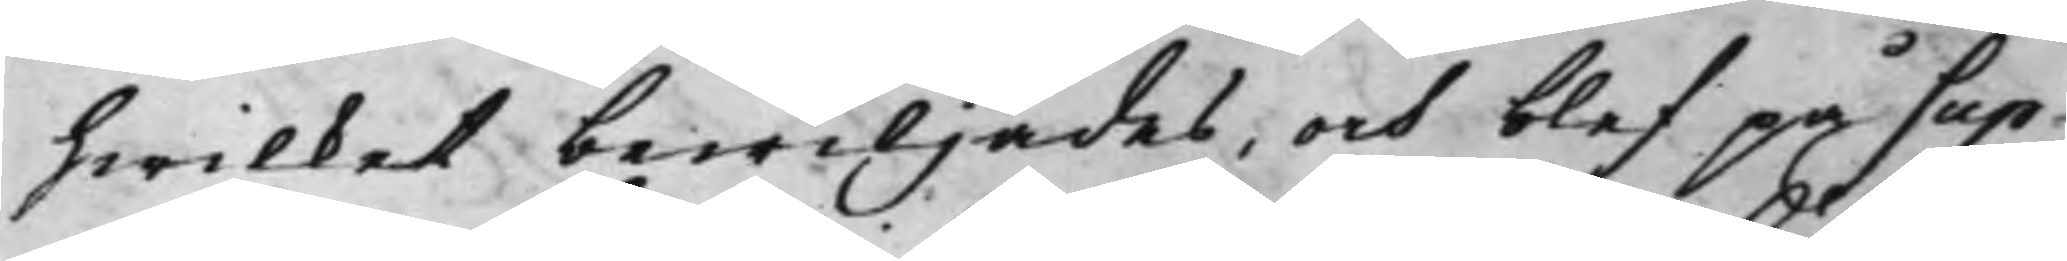hwilket bewiljades, och blef på Sup¬
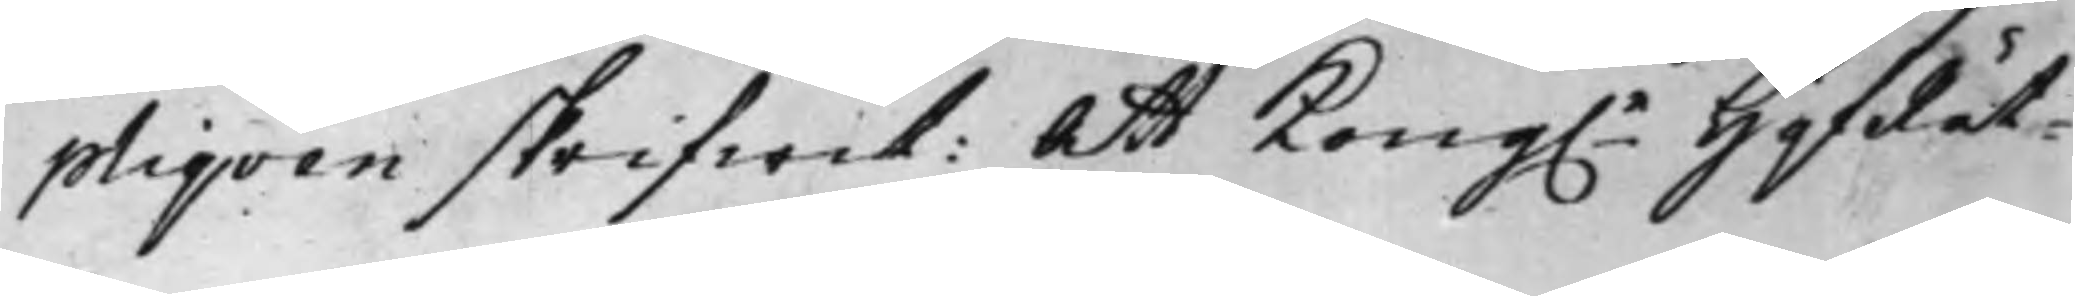pliqven skrifwit: Att Kong.e HåfRät¬
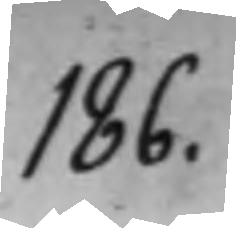186.
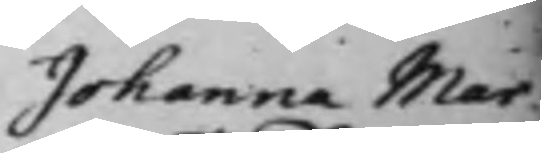Johanna Mar¬
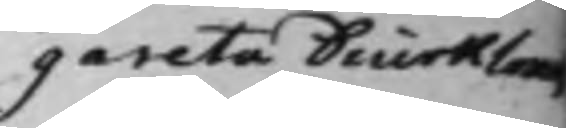gareta Diurklows
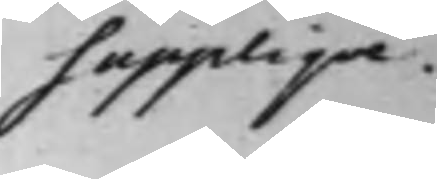Supplique.
